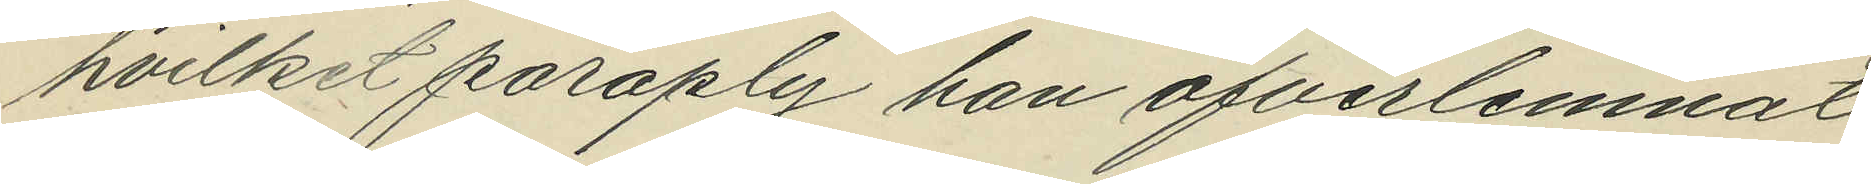hvilket paraply han öfverlemnat
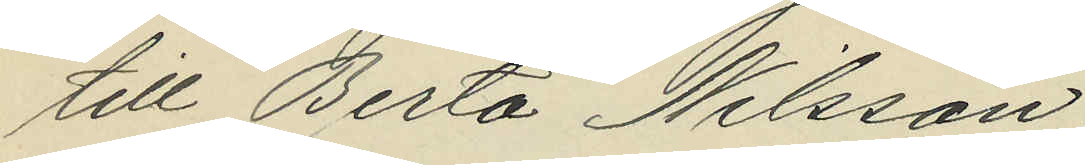till Berta Nilsson;
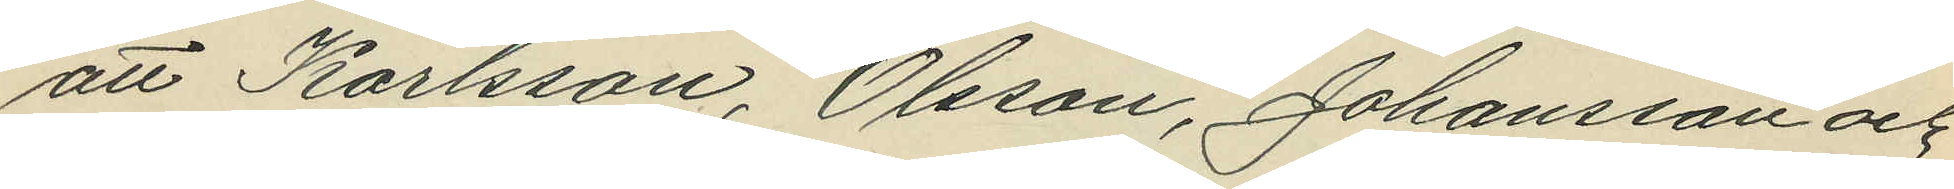att Karlsson, Olsson, Johansson och
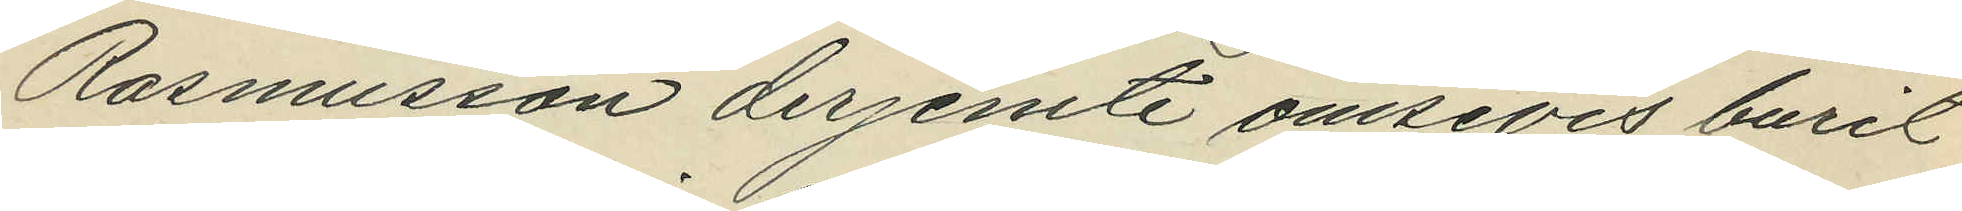Rasmusson derjemte ömsevis burit
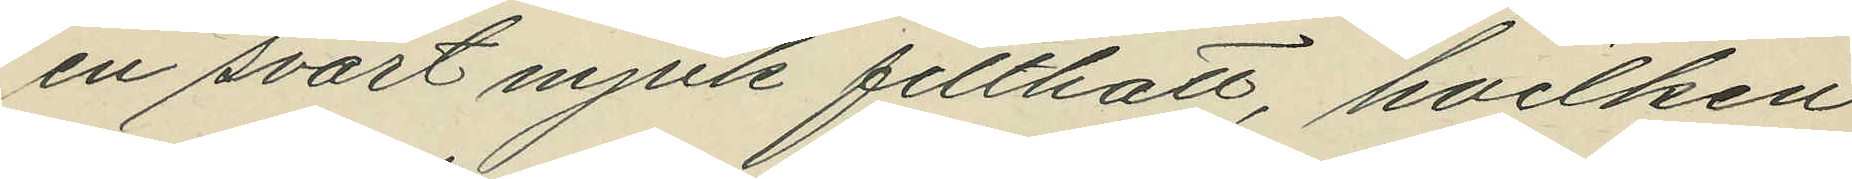en svart mjuk filthatt, hvilken
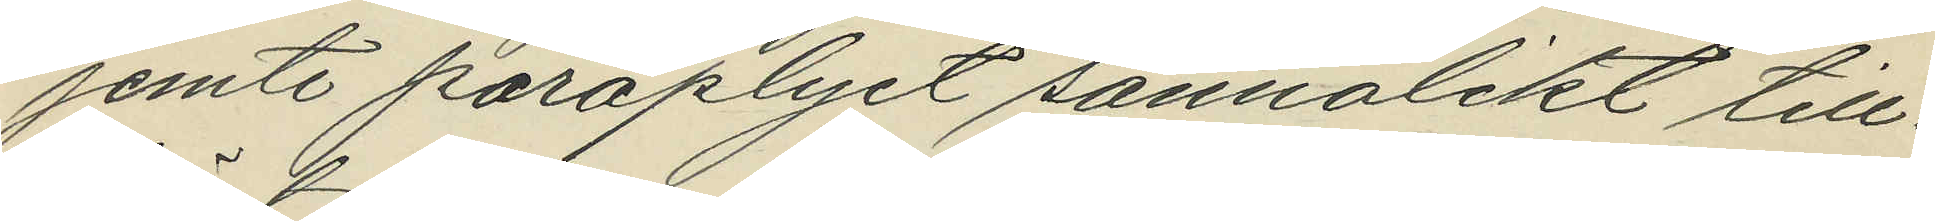jemte paraplyet sannolikt till¬
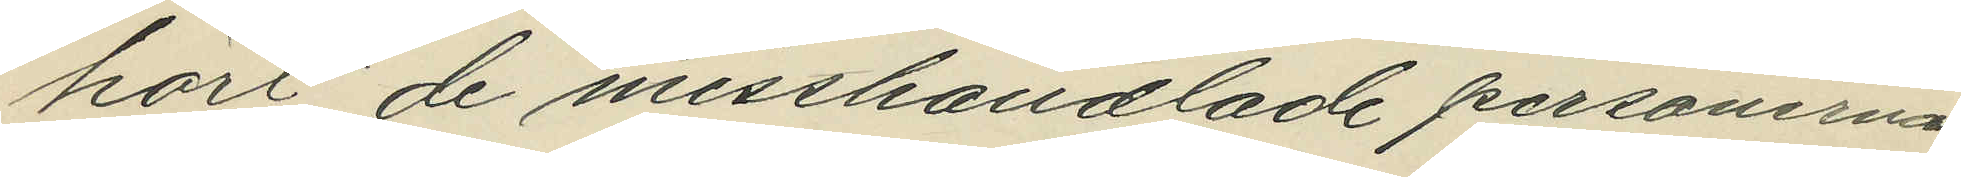hört de misshandlade personerna,
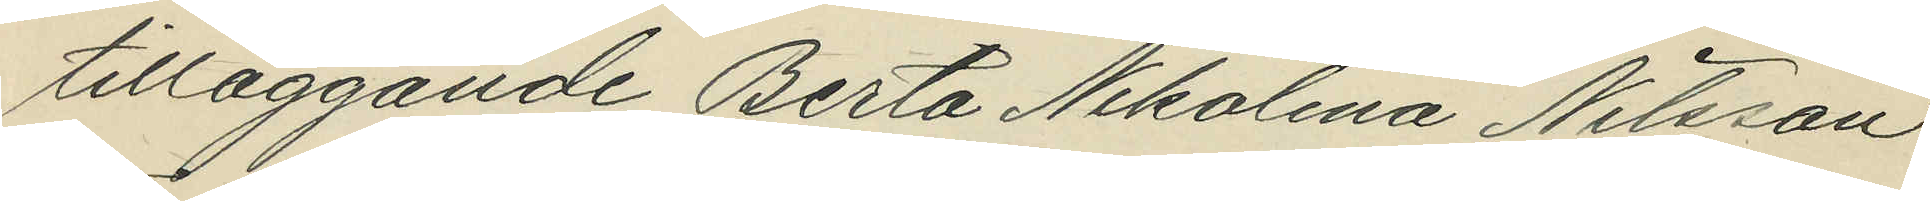tilläggande Berta Nikolina Nilsson:
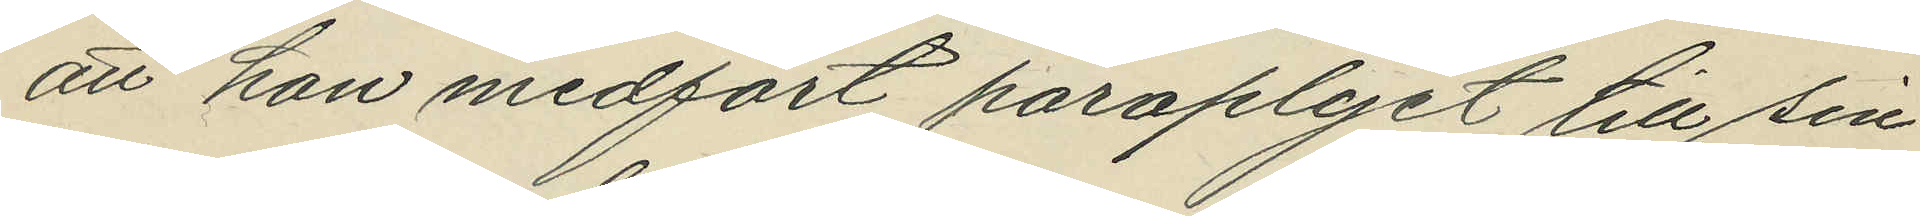att hon medfört paraplyet till sin
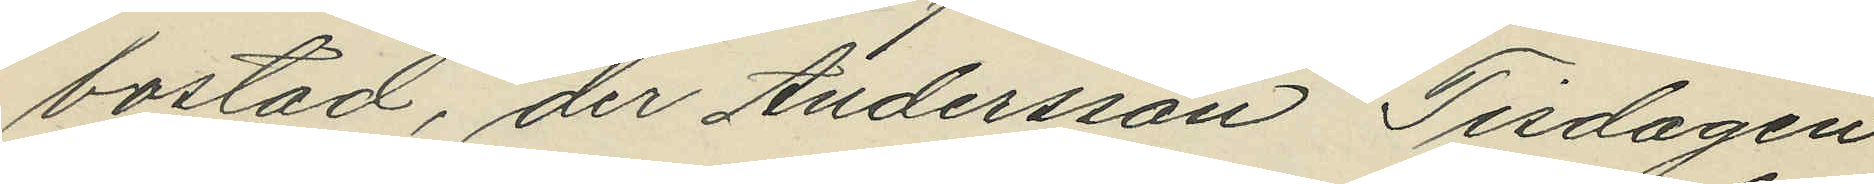bostad, der Andersson Tisdagen
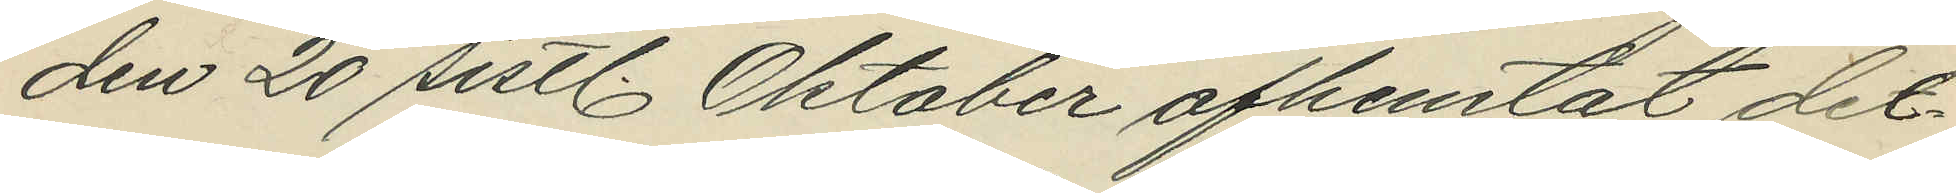den 20 sistl. Oktober afhemtat det¬
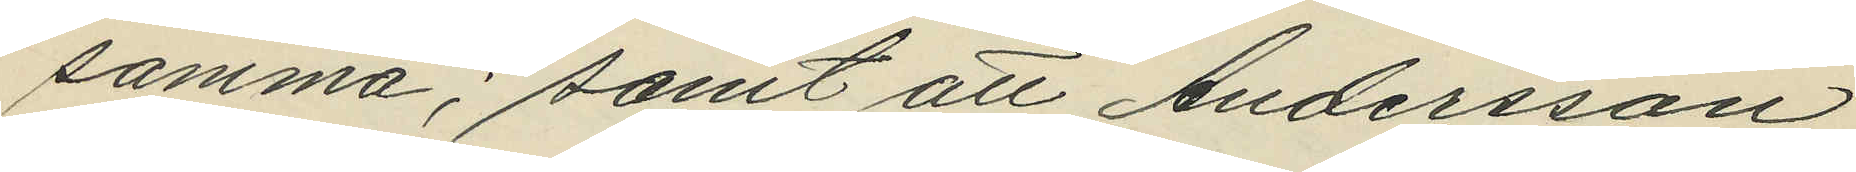samma; samt att Andersson
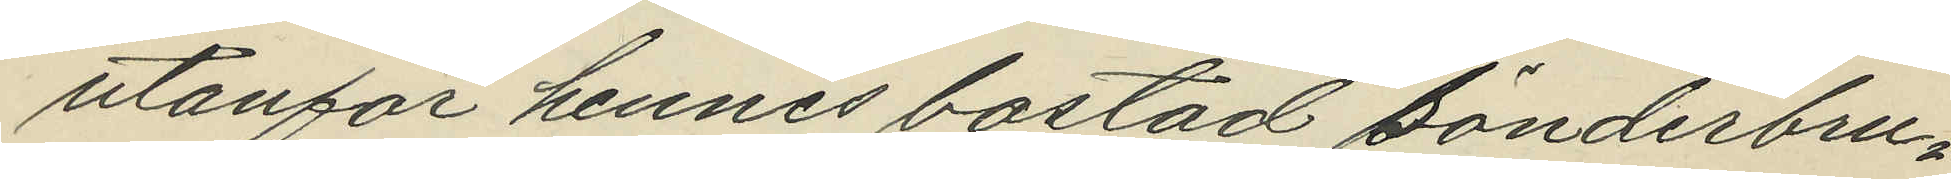utanför hennes bostad sönderbru¬
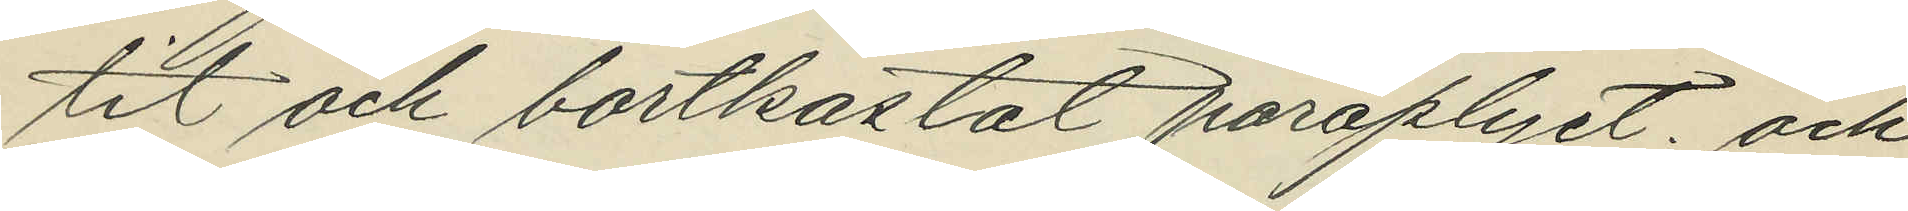tit och bortkastat paraplyet; och
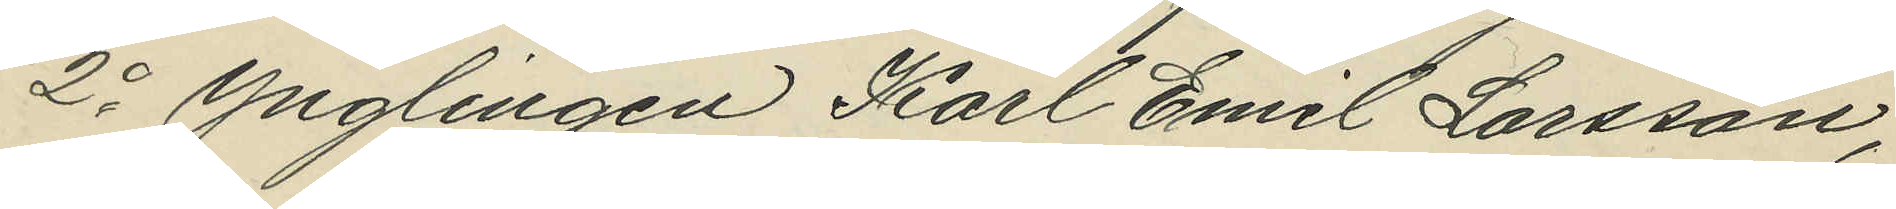2o ynglingen Karl Emil Larsson,
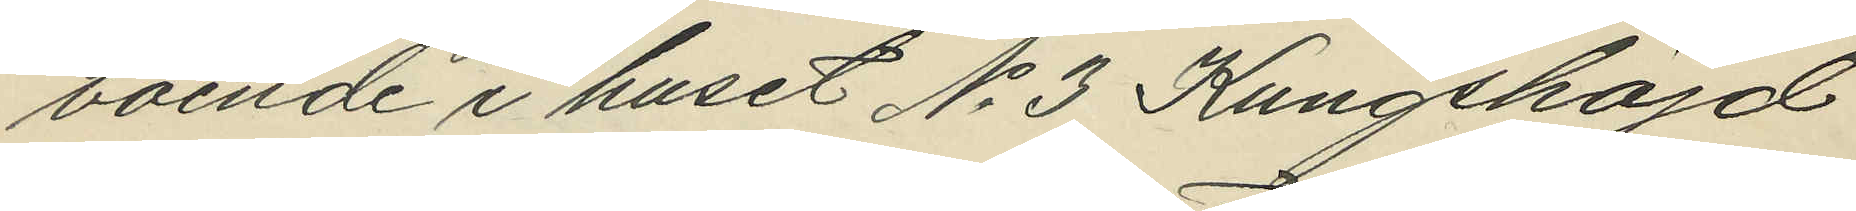boende i huset No 3 Kungshöjd
